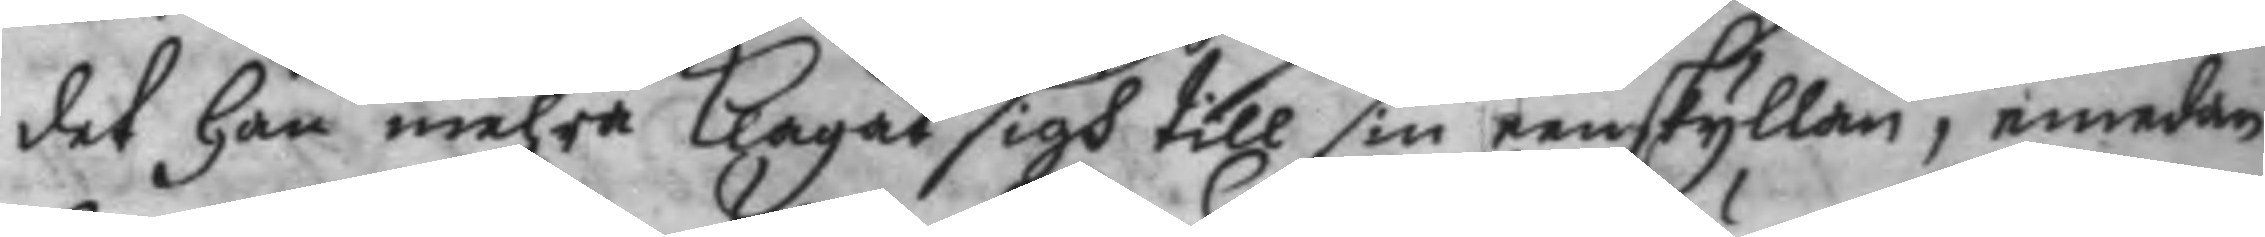det Han mehra Klagat sigh till sin eenskyllan, emedan
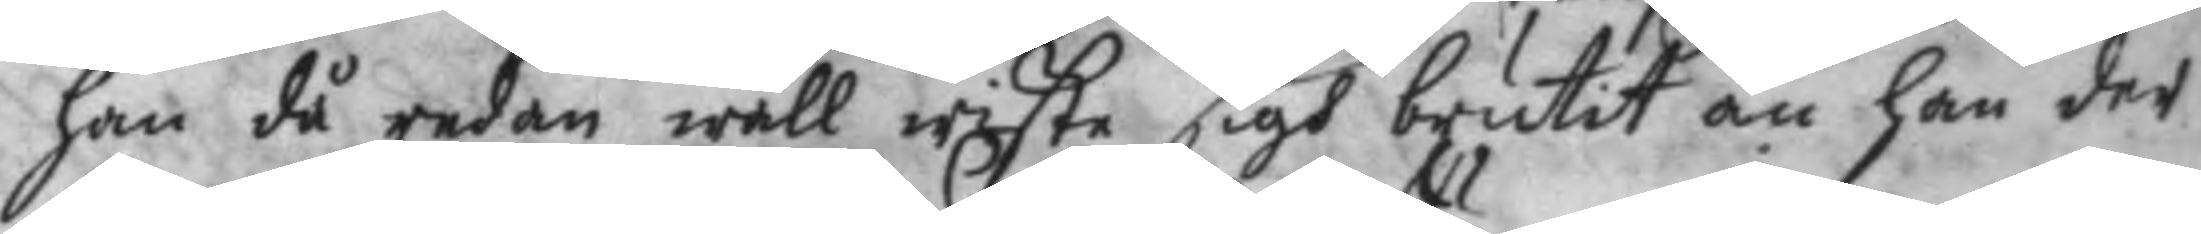han då redan wäll wiste sigh brutit än han der
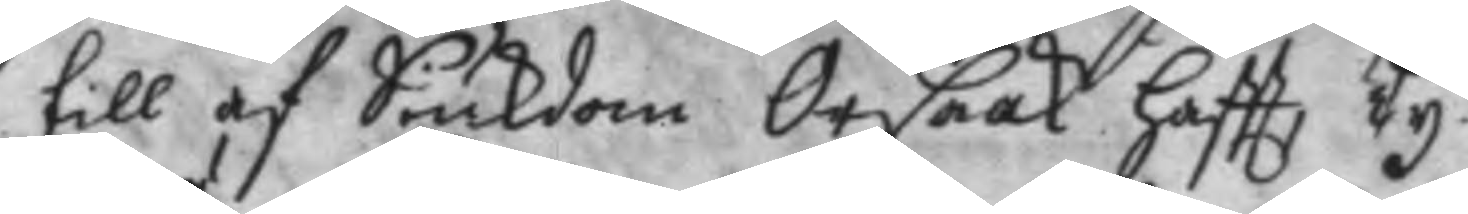till af Siukdom Orsaak haftt Ty.
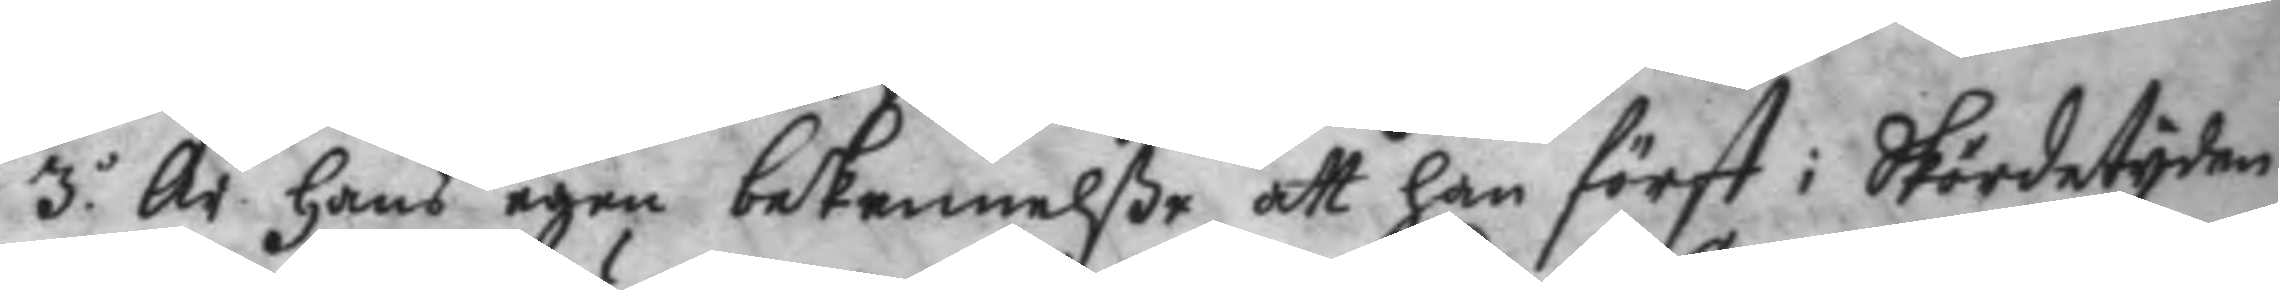3o Är hans egen bekennelße att han först i Skördetyden
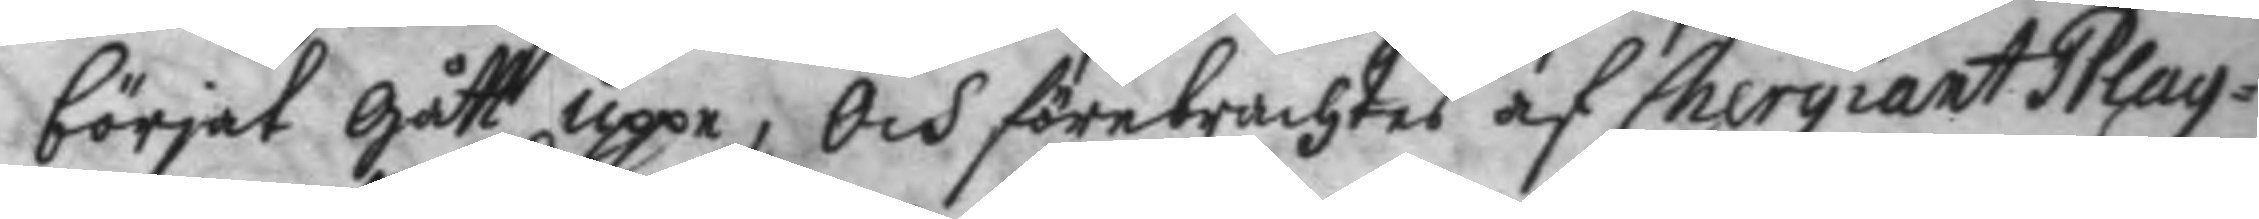börjat Gått uppe; Och förebrachtes af Chergiant Plag¬
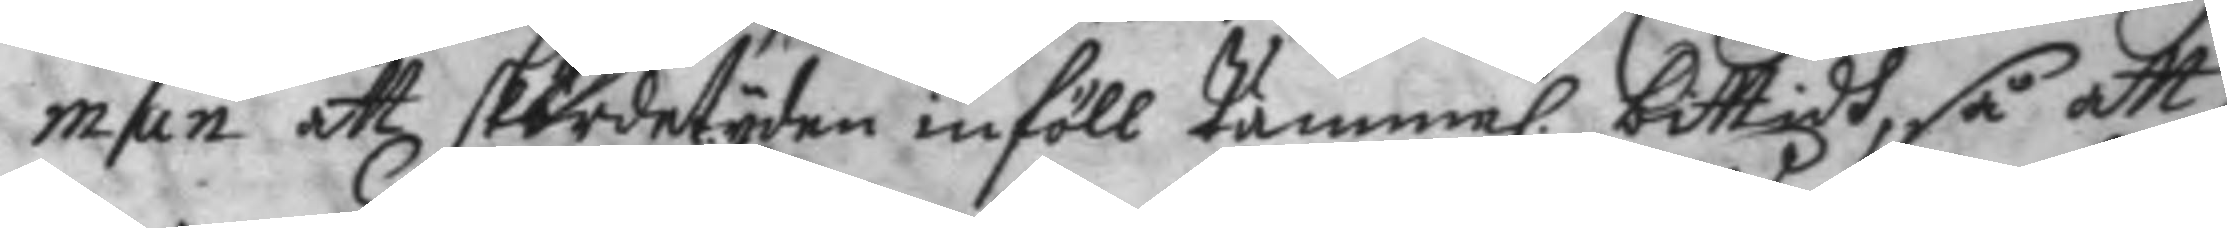man att skördetyden inföll tämma. bittidh, så att 
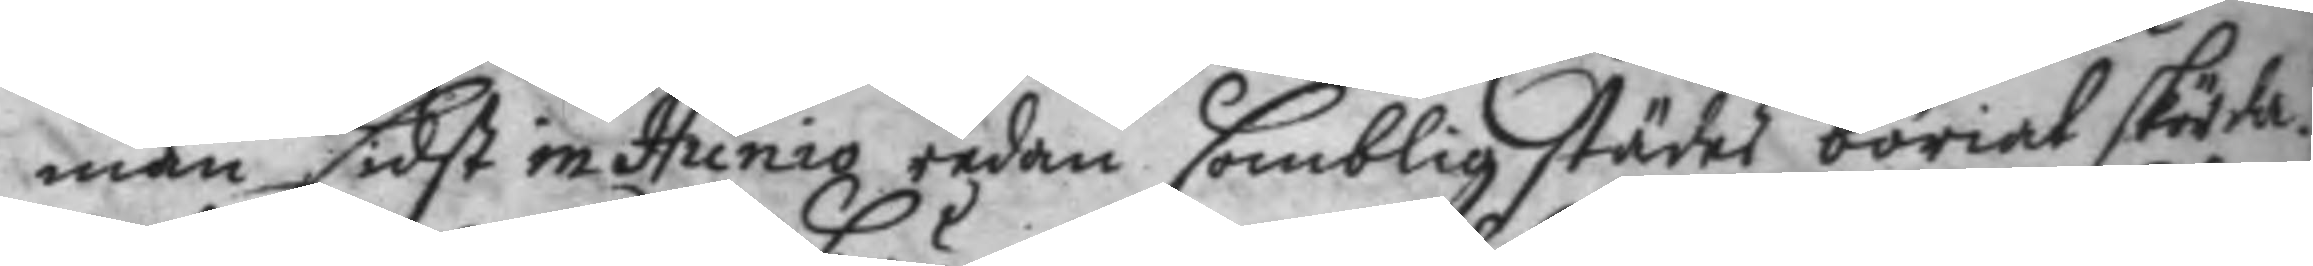man sidst in Junio redan somblig städes böriat skörda.
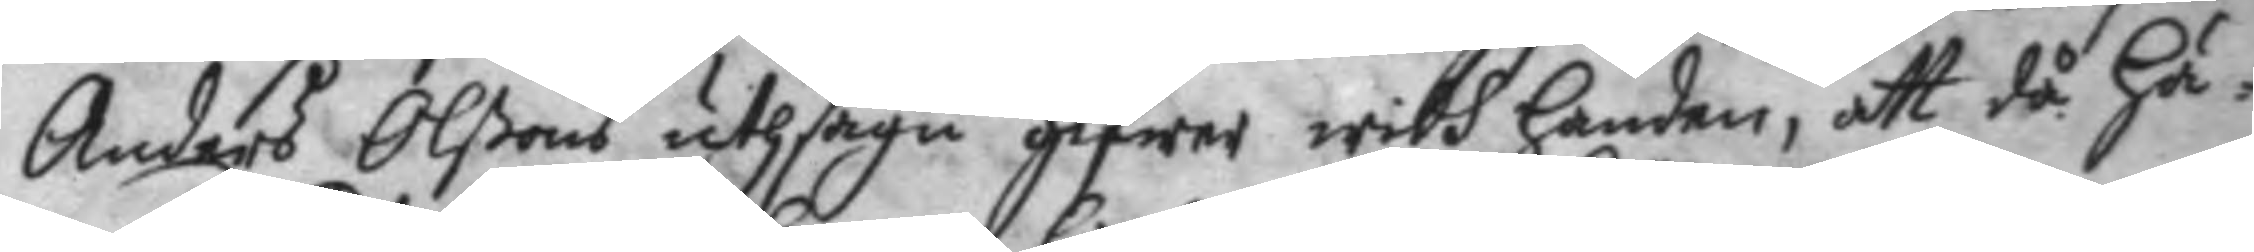Anders Olßons uthsagu gifwer widh handen, att då Hä¬
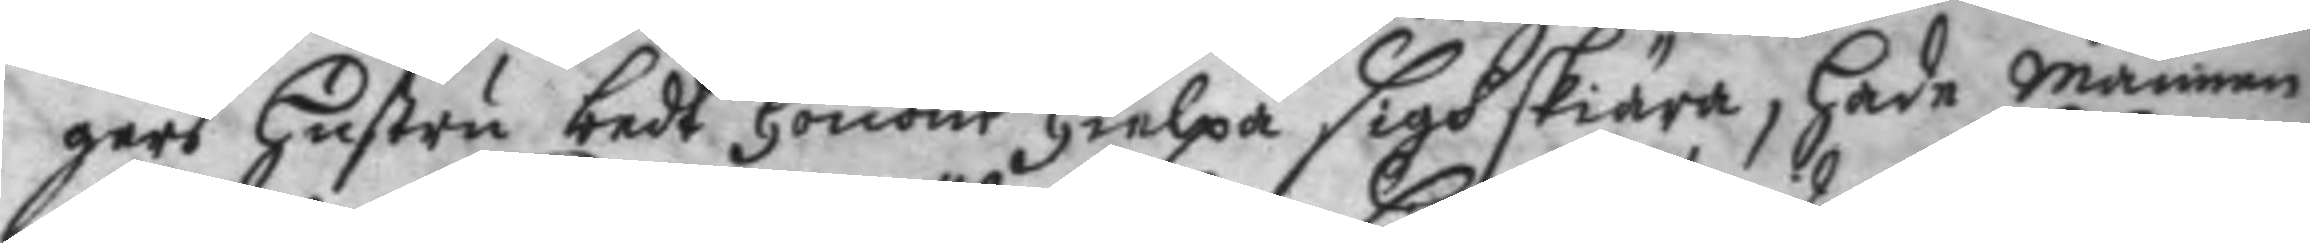gers Hustru bedt Honom Hielpa sigh skiära, hade Mannen
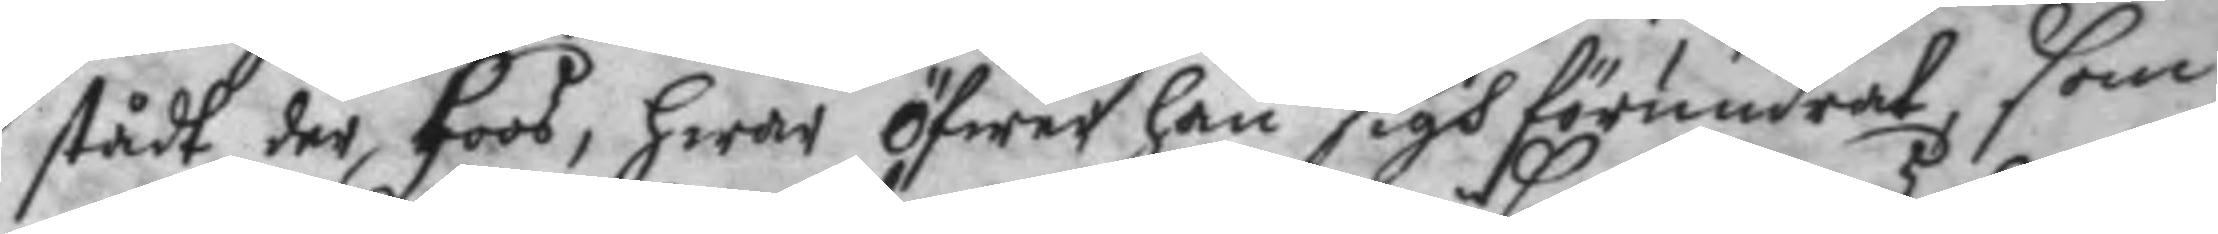stådt der hoos, hwar öfwer han sigh förundrat, som
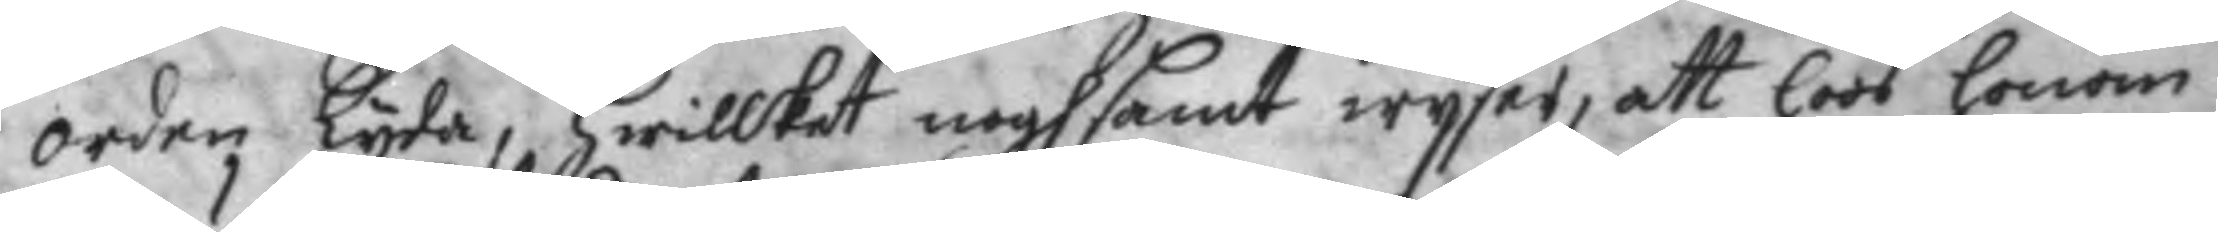orden Lyda, hwilket noghsamt wyser, att hoos honom
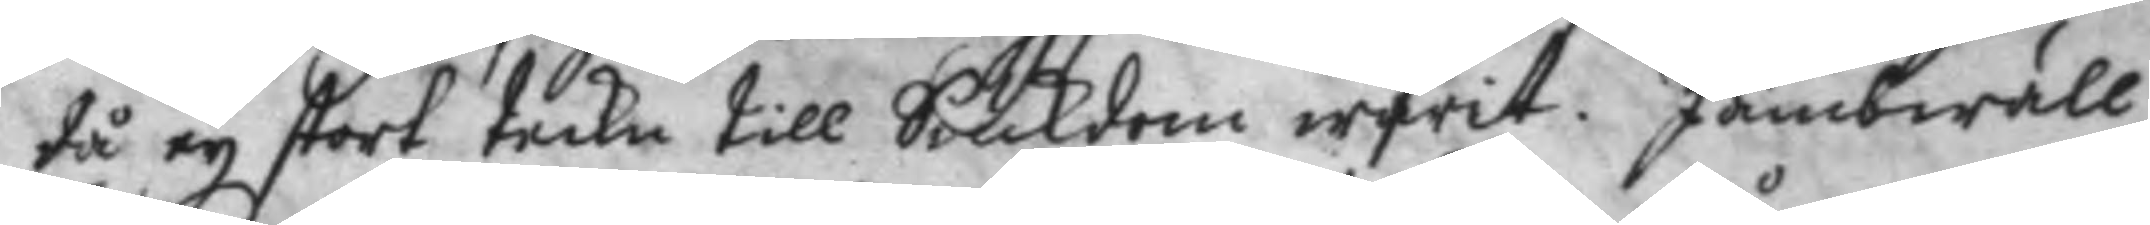tå ey stort teckn till Siukdom warit. Jämbwäll
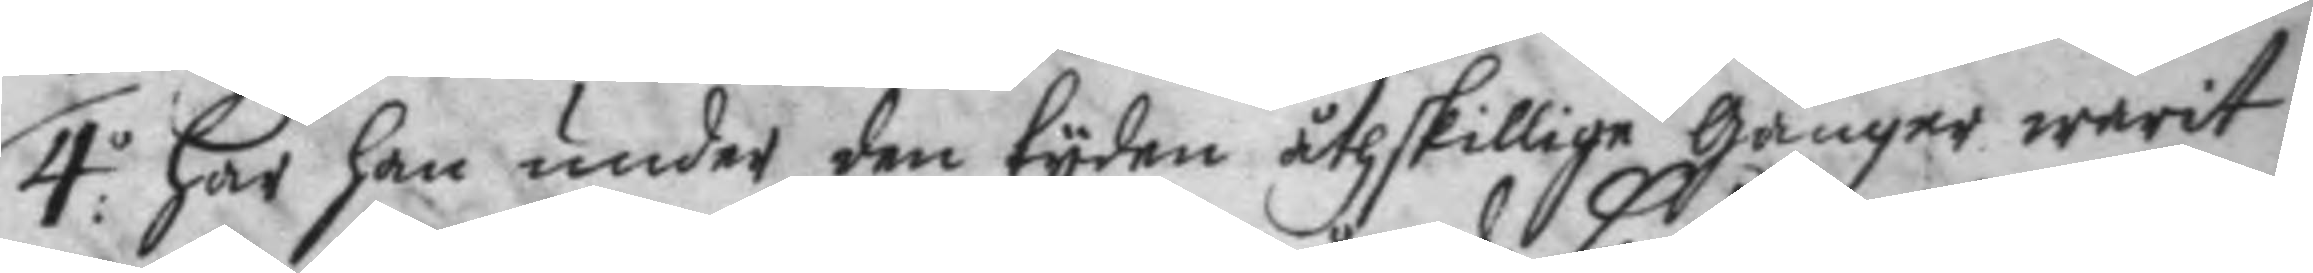4:o har han under den tyden åthskillige gånger warit
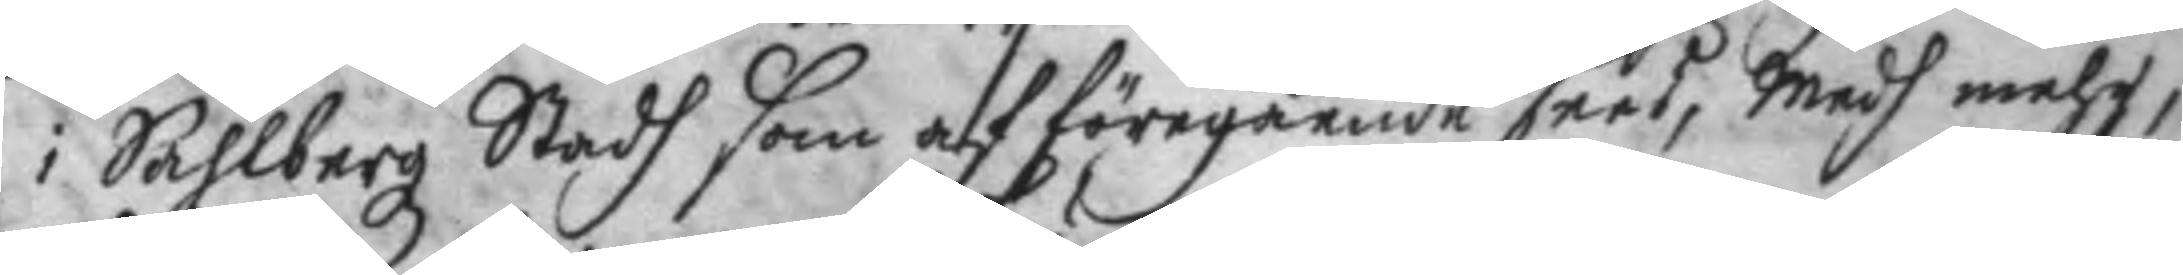i Sahlbergz Stadh som af föregående sees, Medh mehre,
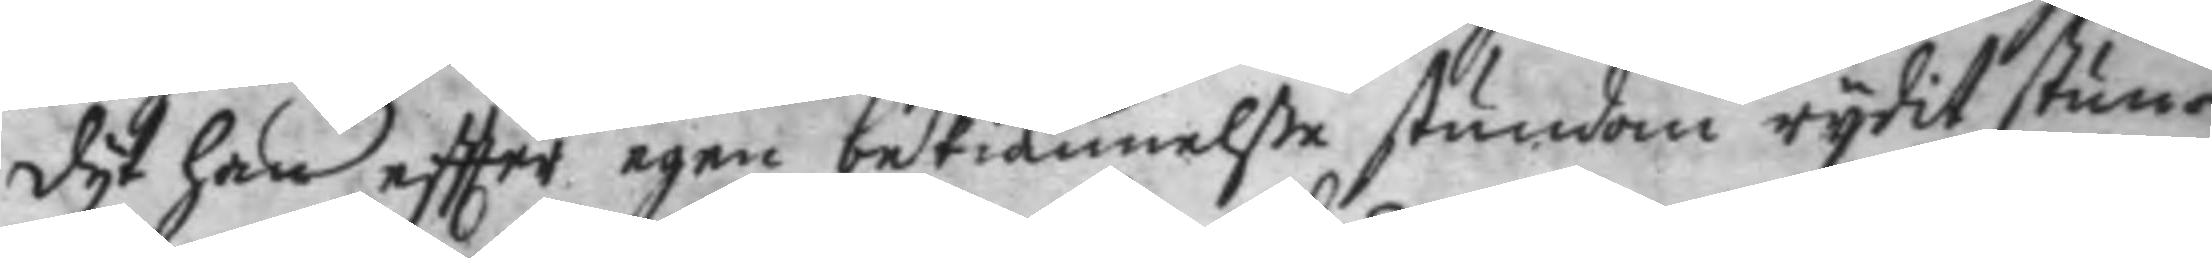dyt han effter egen bekiännelße stundom rydit stun¬
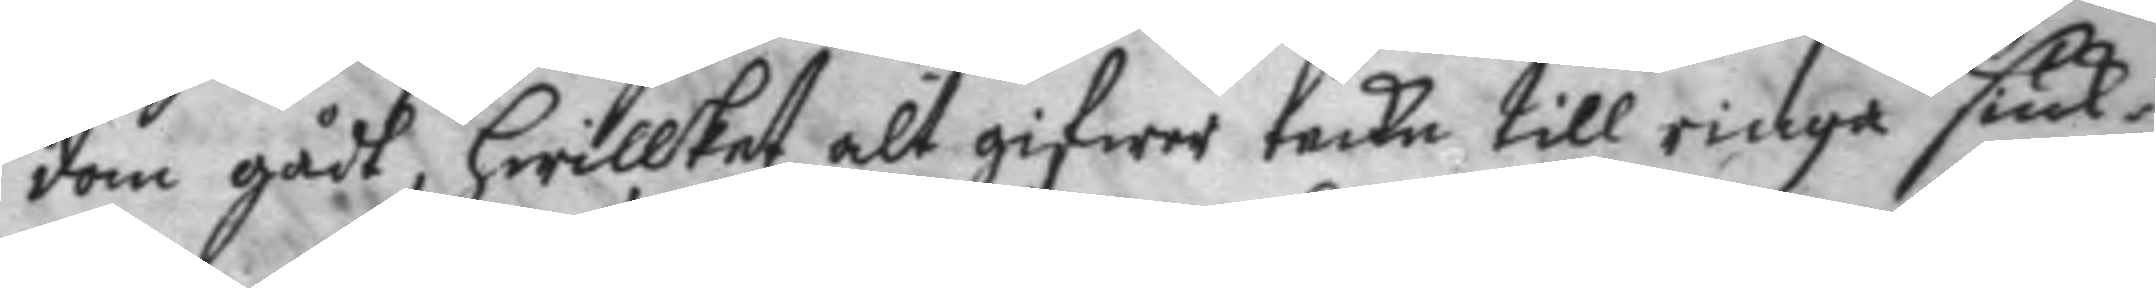dom gådt, hwilket alt gifwer teckn till ringa siuk¬
